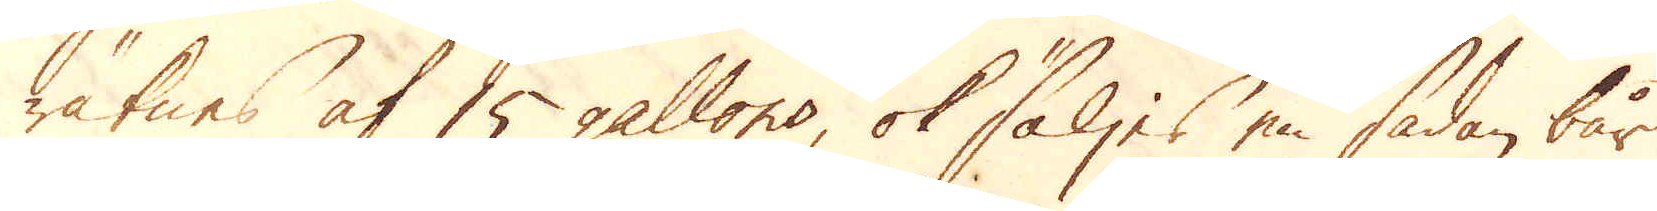räknes af 15 gallons, ok säljes en sådan bår
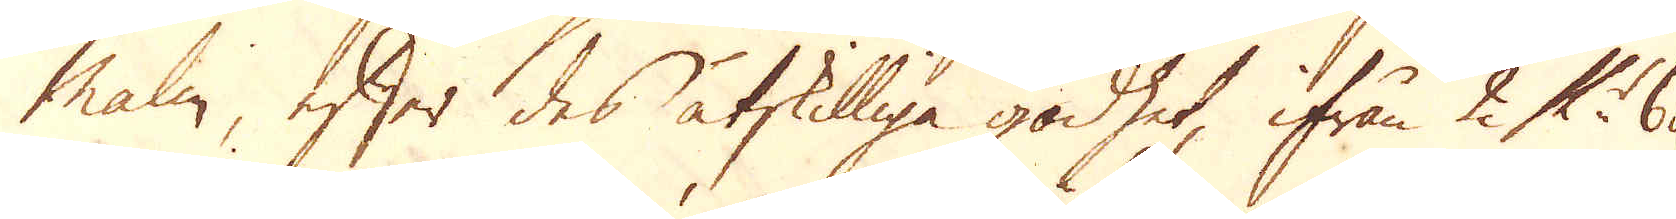Malm, efter des åtskilliga godhet, ifrån 2 £ 6 d
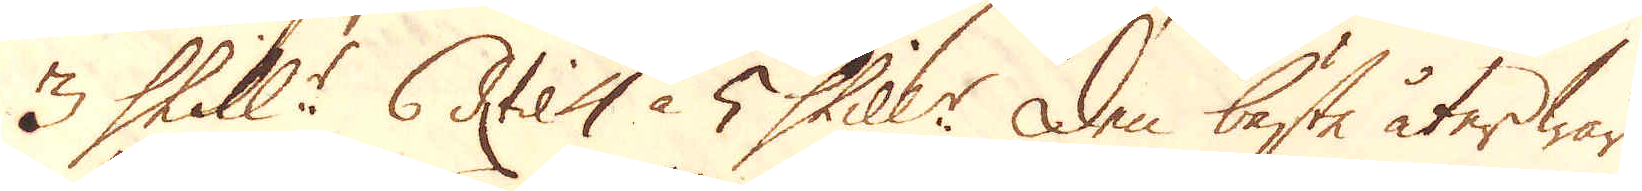3 Skill:r 6 d: til 4 à 5 Skill:r den bäste åter war
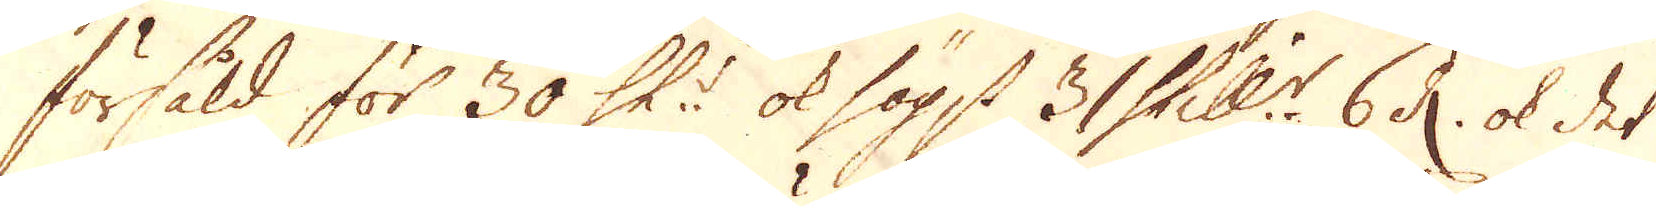försåld för 30 Sk:r ok högst 31 Skill:r 6 d. ok det
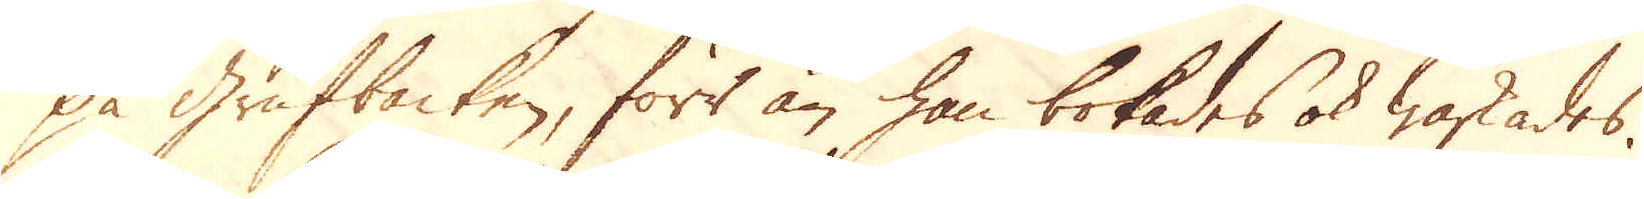på Grufbacken, förr än han bokades ok waskades.
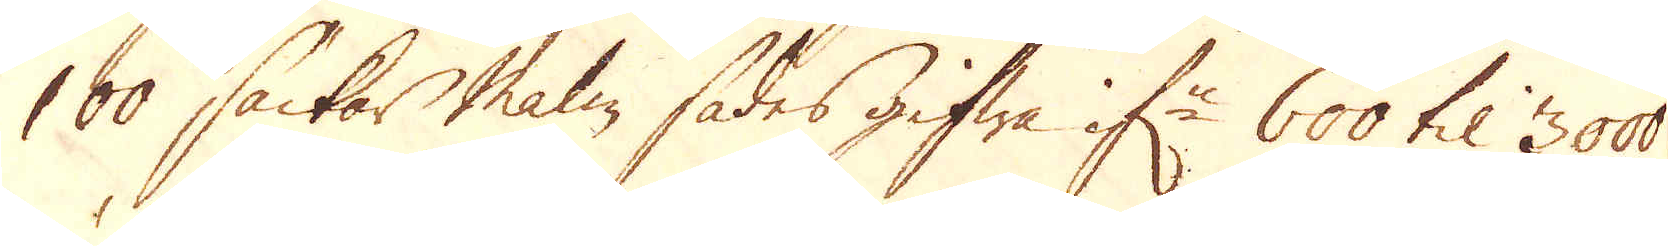100 säckar malm sades gifwa if:n 600 til 3000
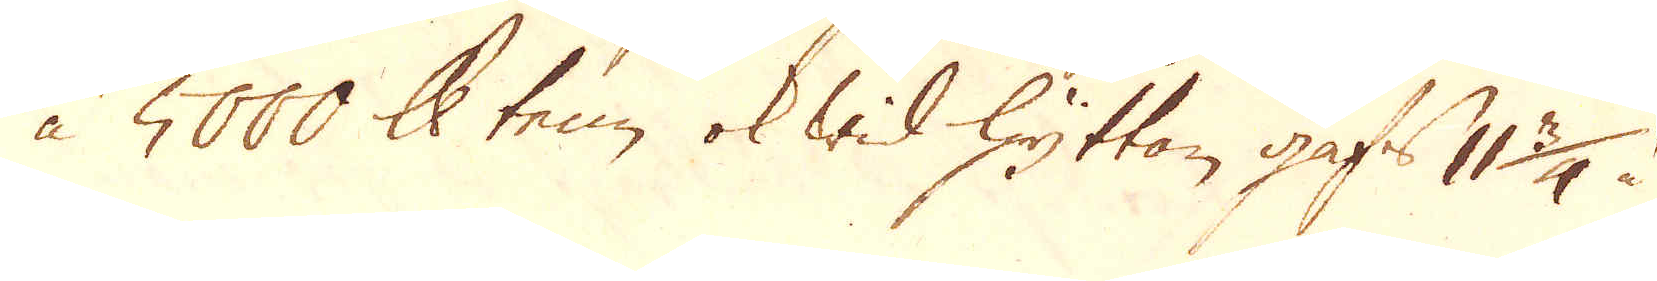à 5000 skålpund tenn, ok wid Hyttan gafs 11 3/4 à
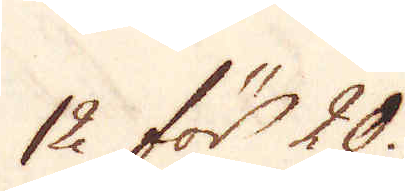12 för 20.
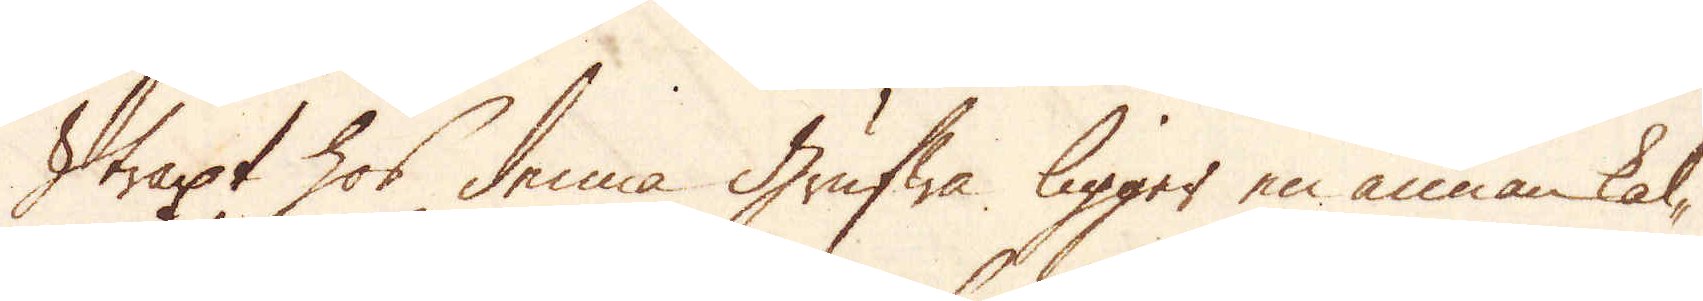Straxt hos denna grufwa ligger en annan kal-
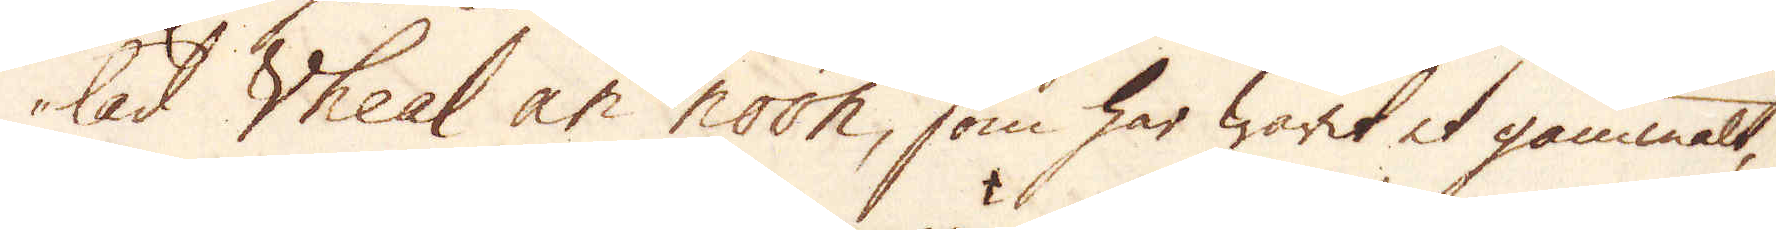lad Wheal an noon, som har warit et gammalt,
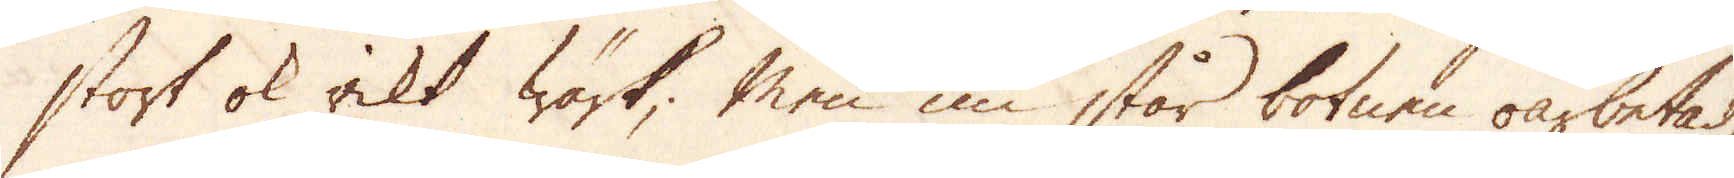stort ok rikt wärk; men nu står botnen oarbetad,
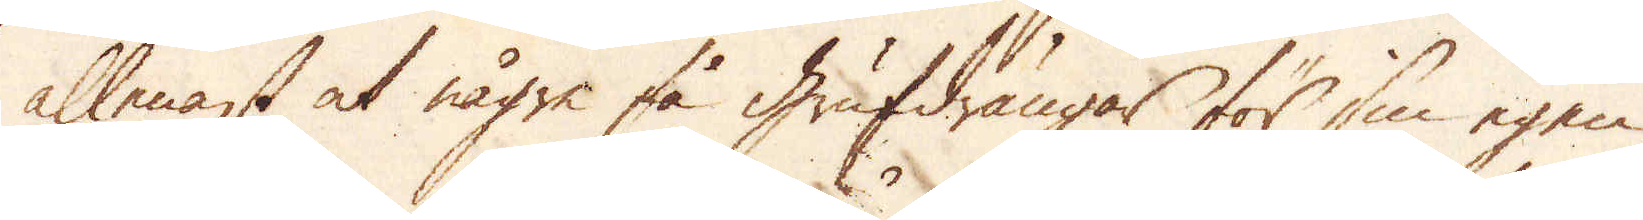allenast at några få grufdrängar för sin egen
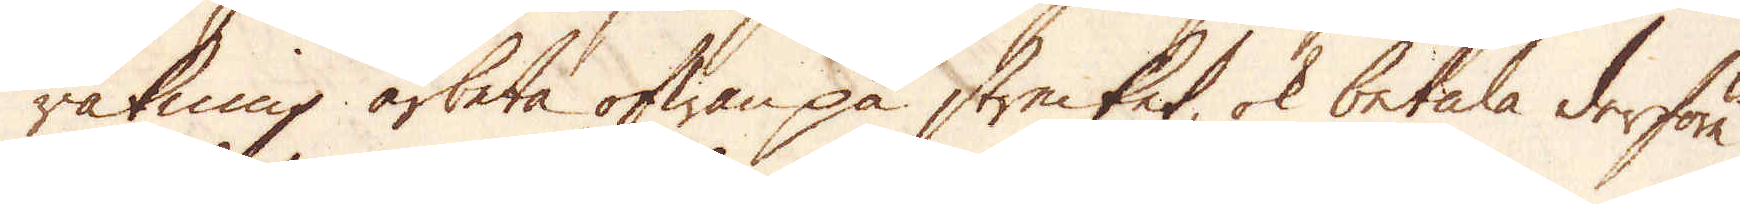räkning arbeta ofwan på strecket, ok betala derföre
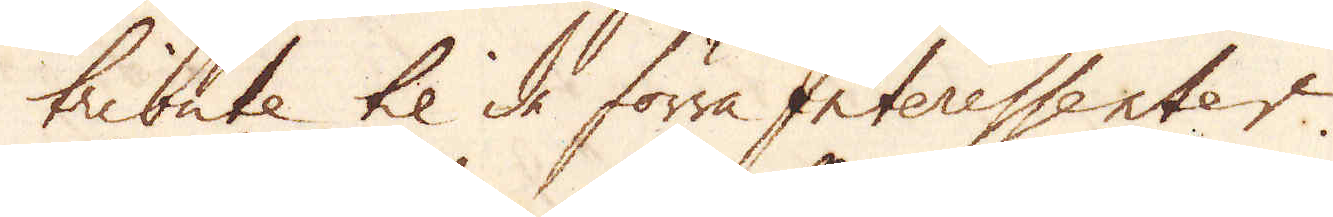tribute til de förra Interessenter.
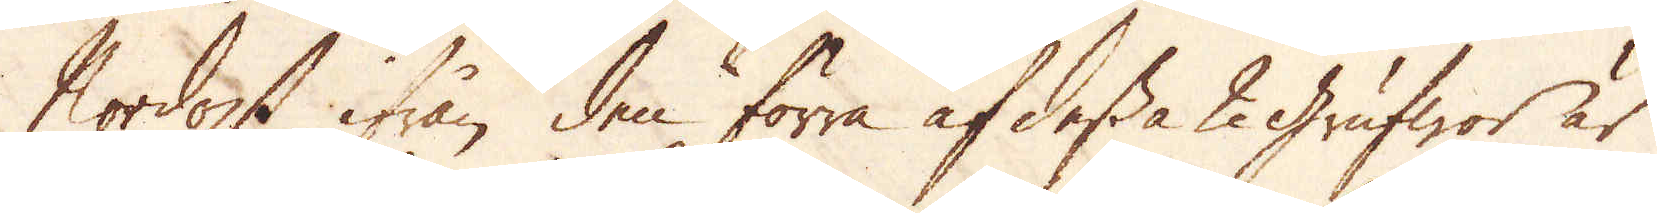Nordost ifrån den förra af dessa 2 grufwor är
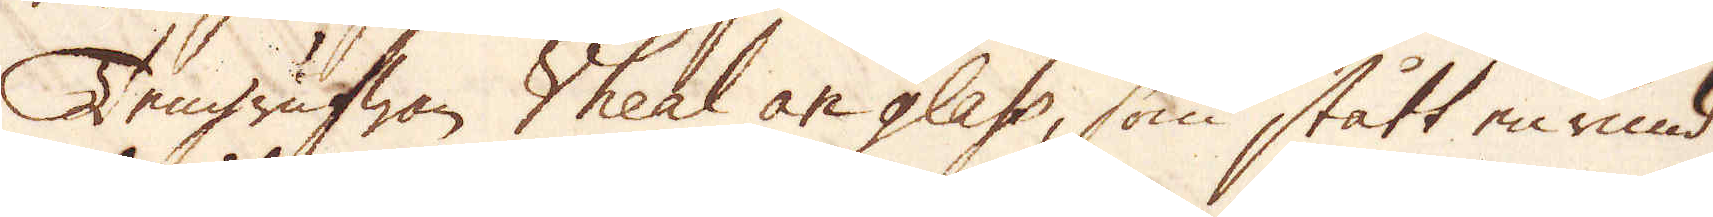Tengrufwan Vheal an glass, som stått en rund
